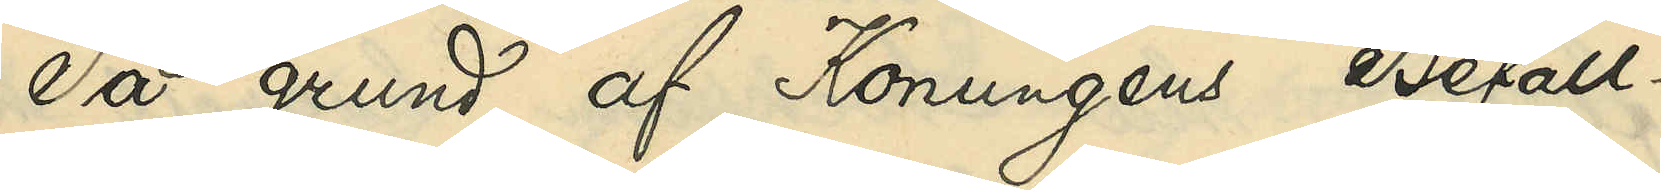På grund af Konungens Befall¬
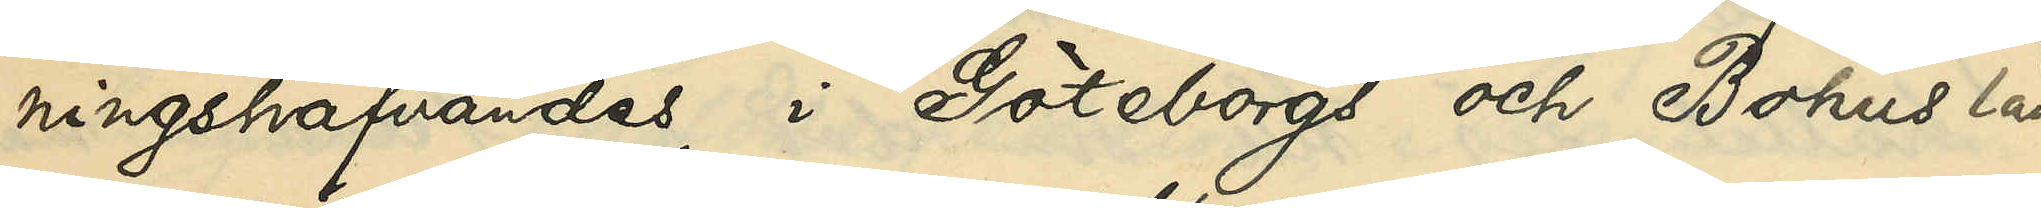ningshafvandes i Göteborgs och Bohus län
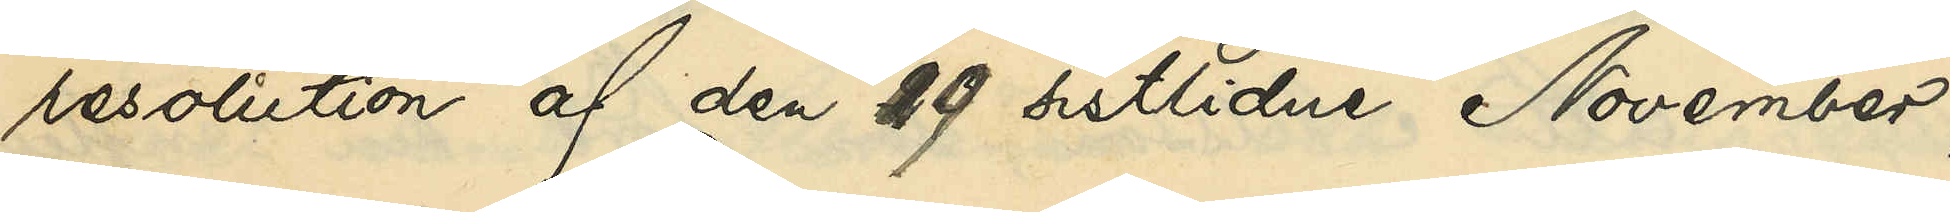resolution af den 29 sistlidne November,
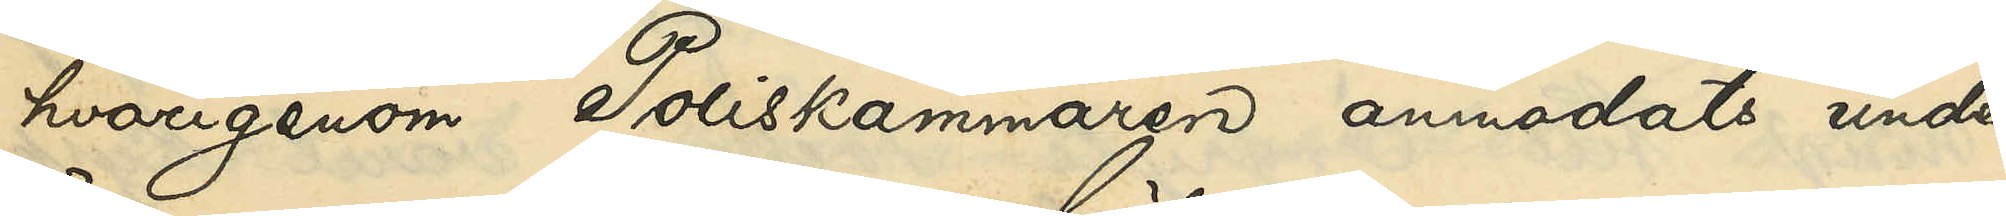hvarigenom Poliskammaren anmodats under¬
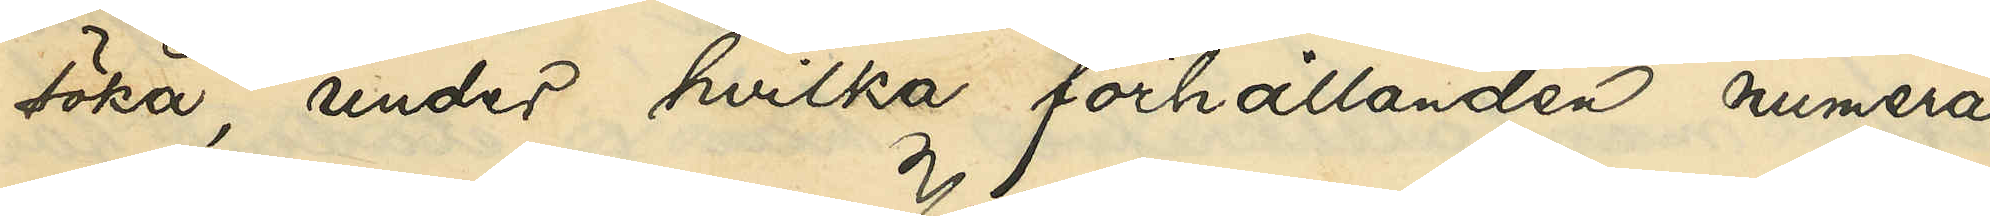söka, under hvilka förhållanden numera
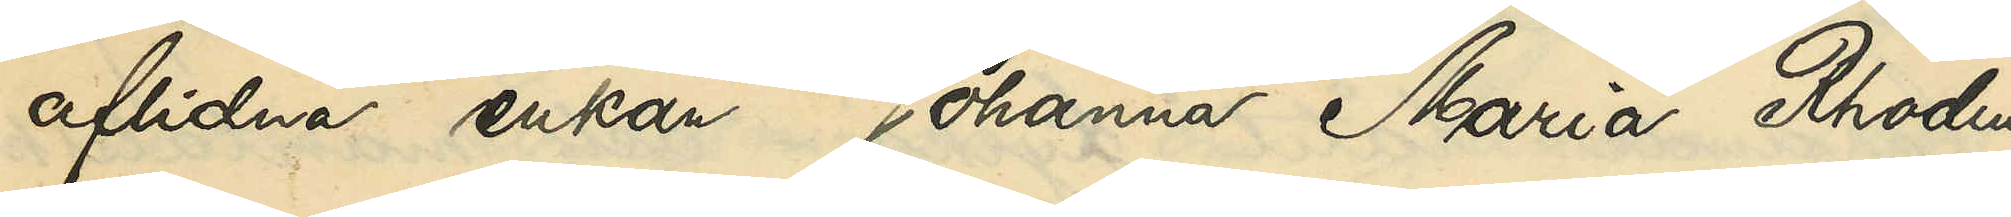aflidna enkan Johanna Maria Rhodin
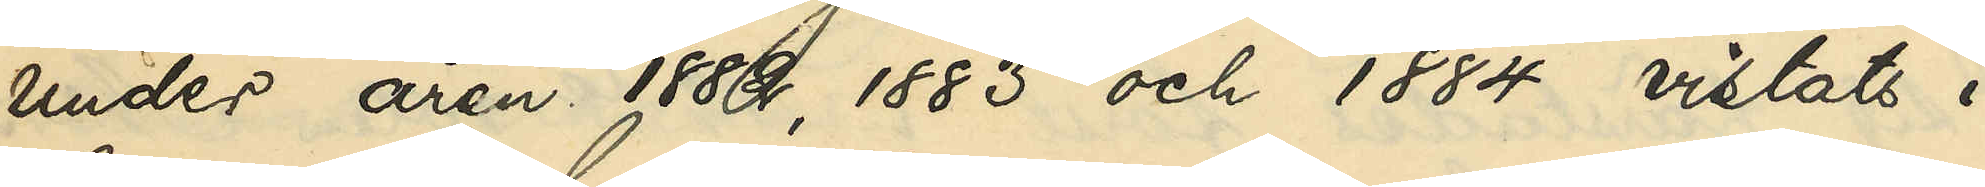under åren 1882, 1883 och 1884 vistats i
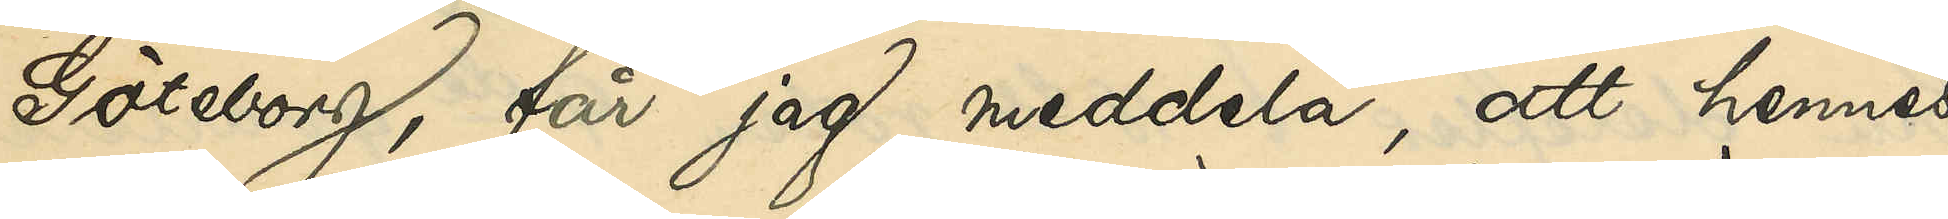Göteborg, får jag meddela, att hennes
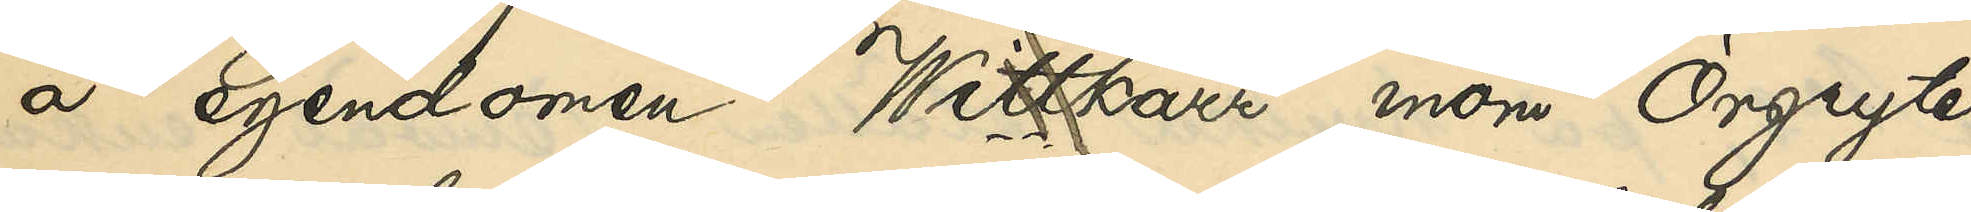å egendomen Wittkärr inom Örgryte
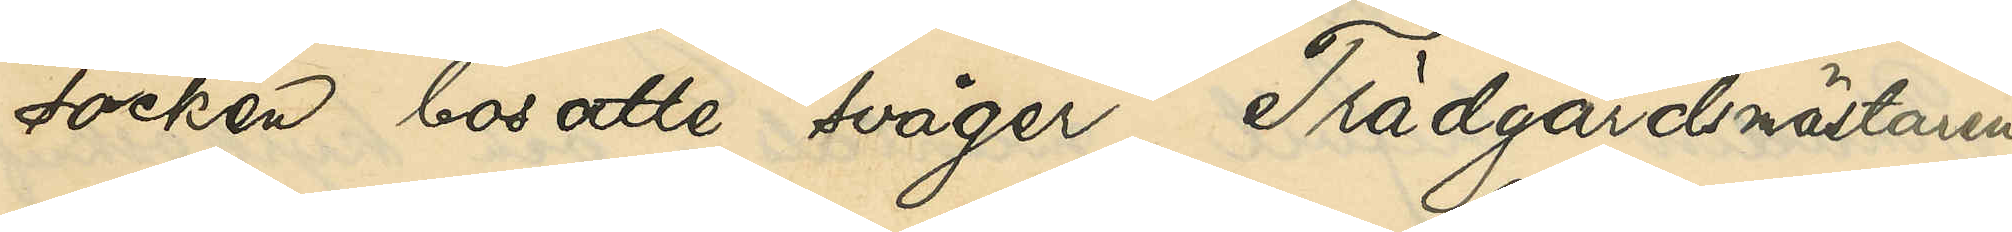socken bosatte svåger, Trädgårdsmästaren
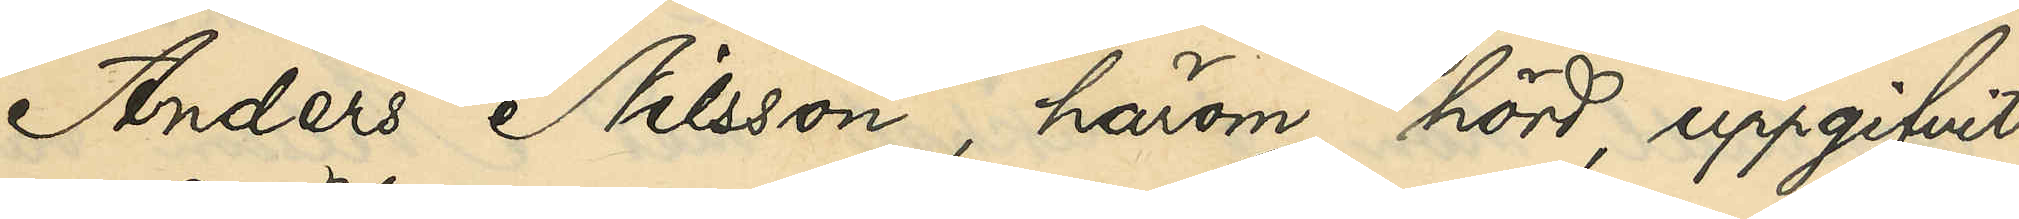Anders Nilsson, härom hörd, uppgifvit:
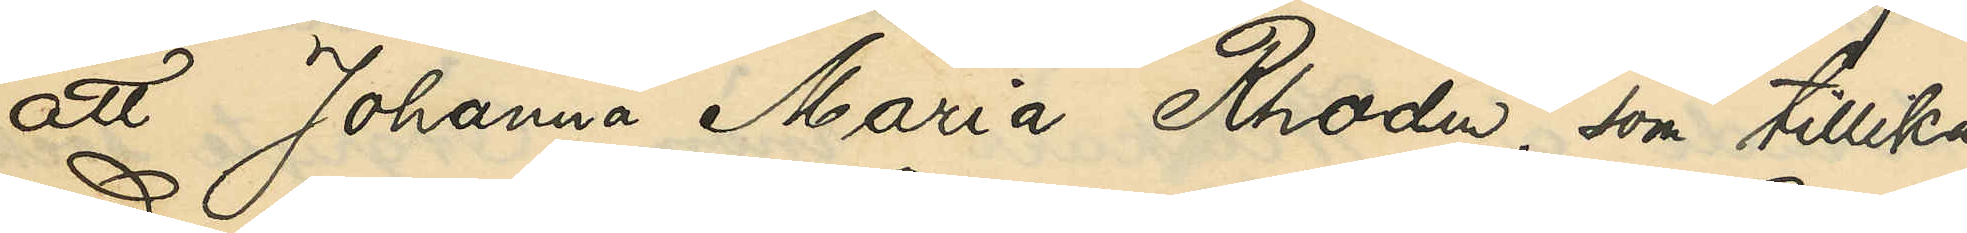att Johanna Maria Rhodin, som tillika
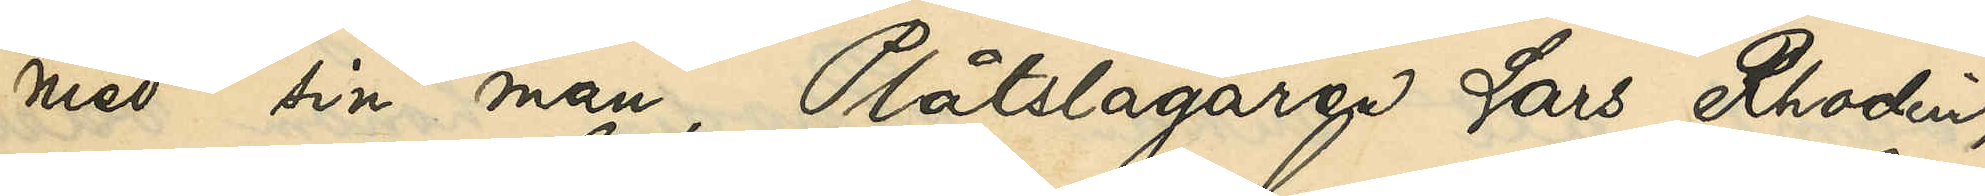med sin man, Plåtslagaren Lars Rhodin,
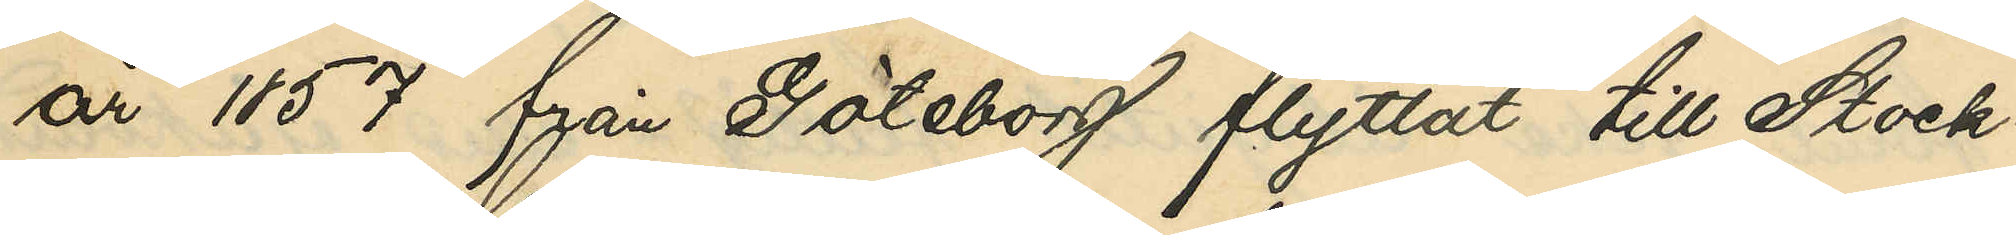år 1857 från Göteborg flyttat till Stock¬
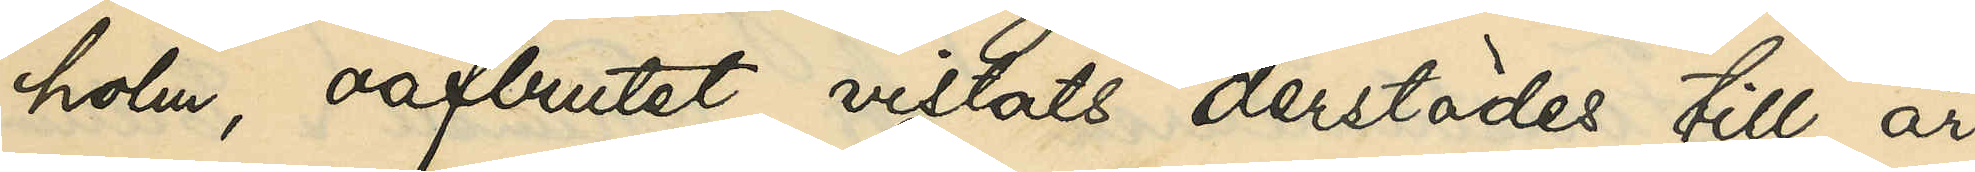holm, oafbrutet vistats derstädes till år
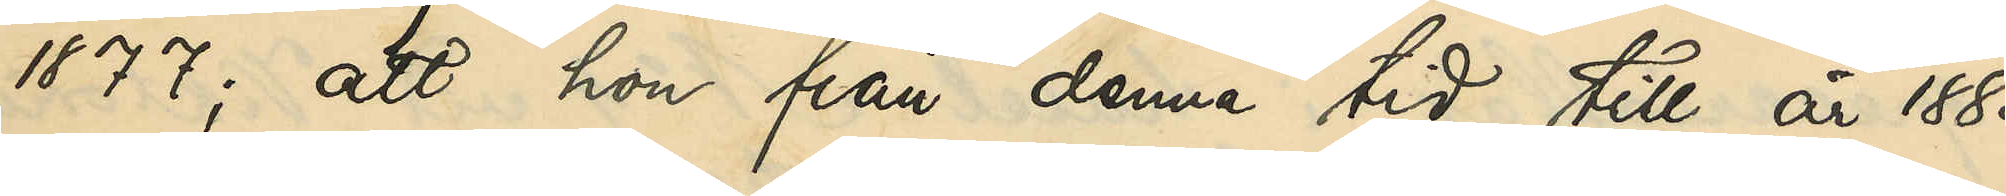1877; att hon från denna tid till år 1883
